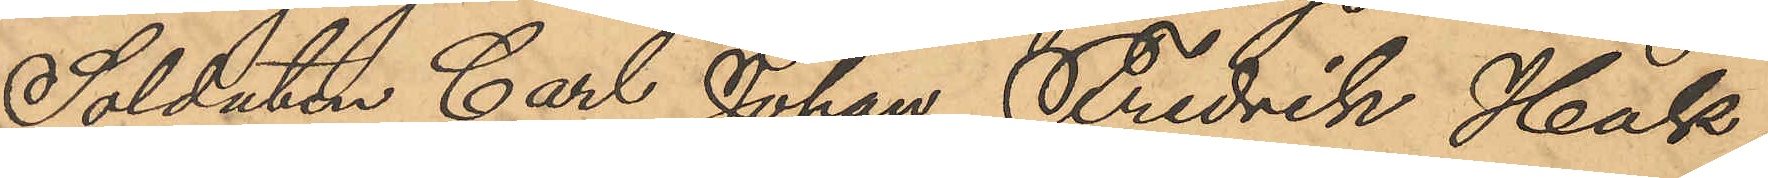Soldaten Carl Johan Fredrik Hak
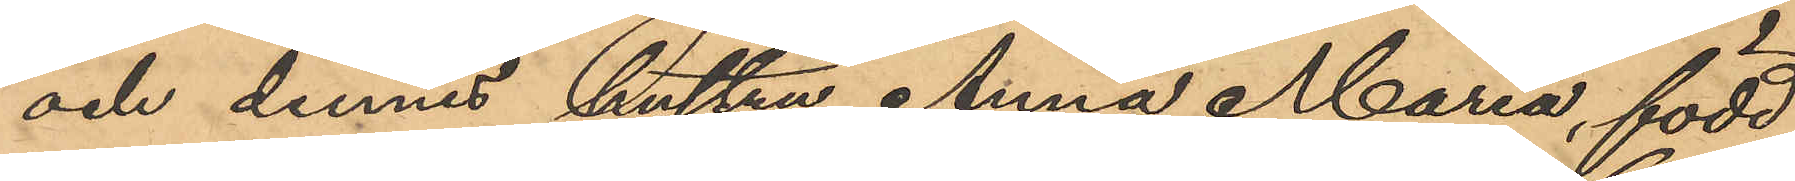och dennes hustru Anna Maria, född
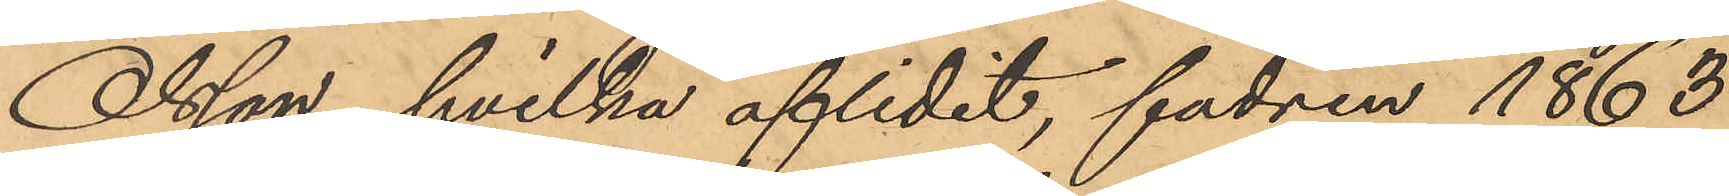Olsson, hvilka aflidit, fadren 1863
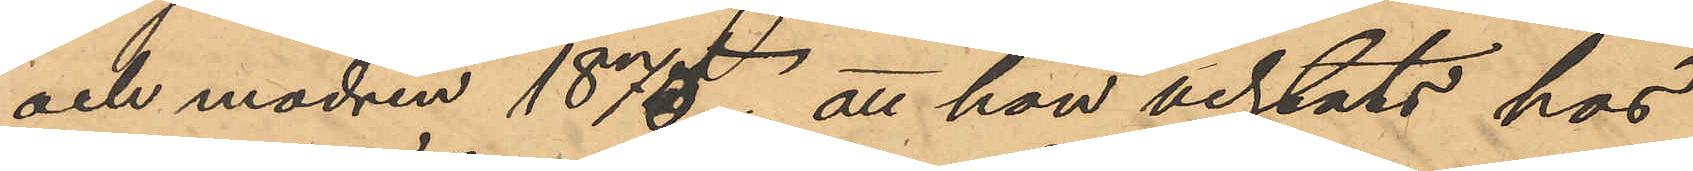och modren 1875; att hon vistats hos
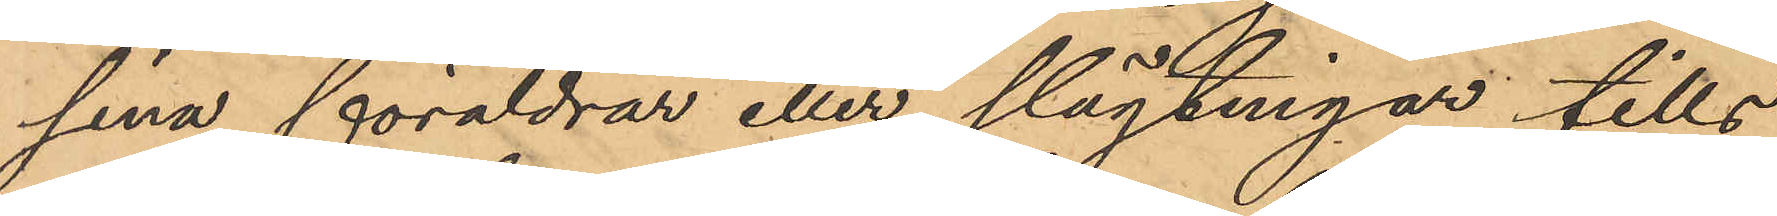sina föräldrar eller slägtingar tills
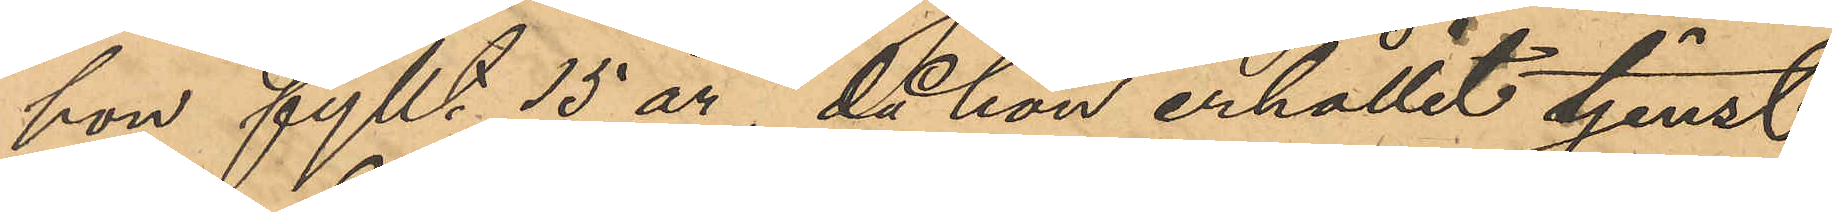hon fyllt 15 år, då hon erhållit tjenst
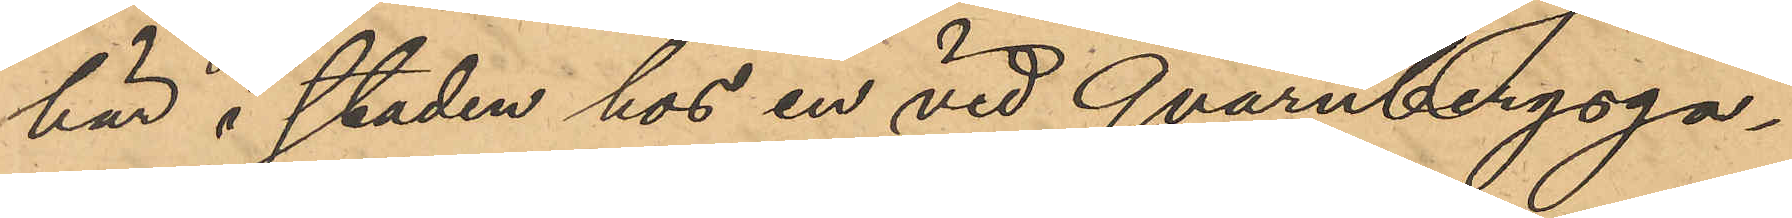här i staden hos en vid Qvarnbergsga¬
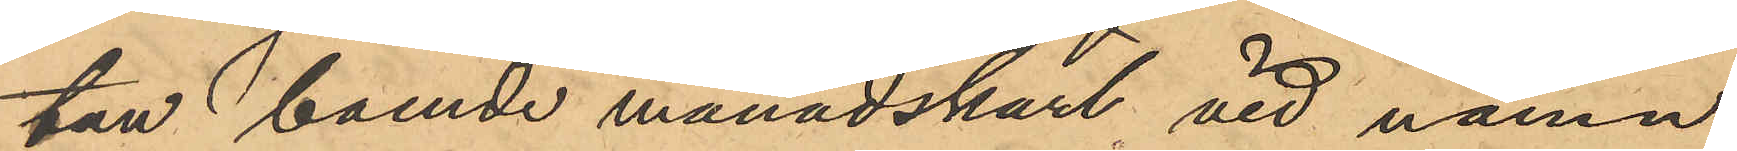tan boende månadskarl vid namn
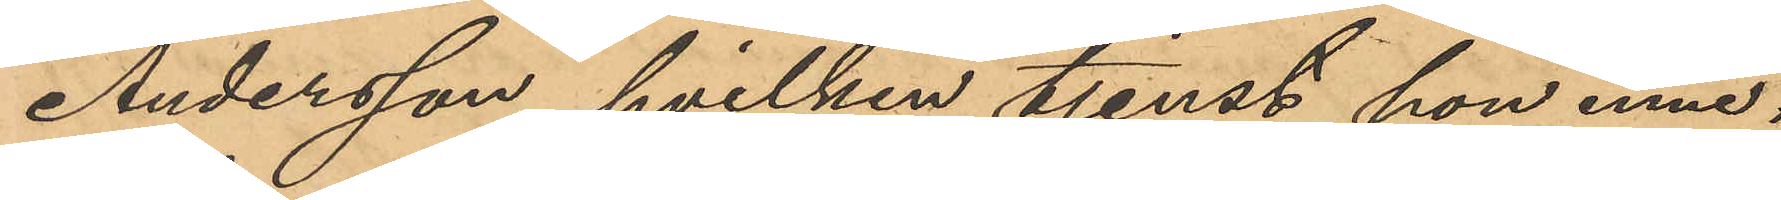Andersson, hvilken tjenst hon inne¬
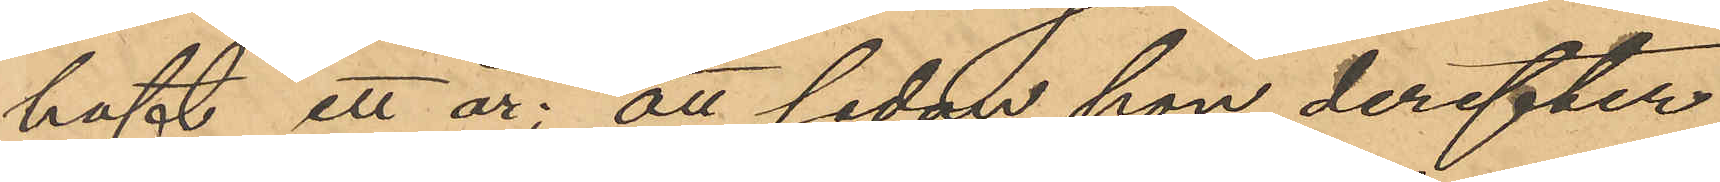haft ett år; att sedan hon derefter
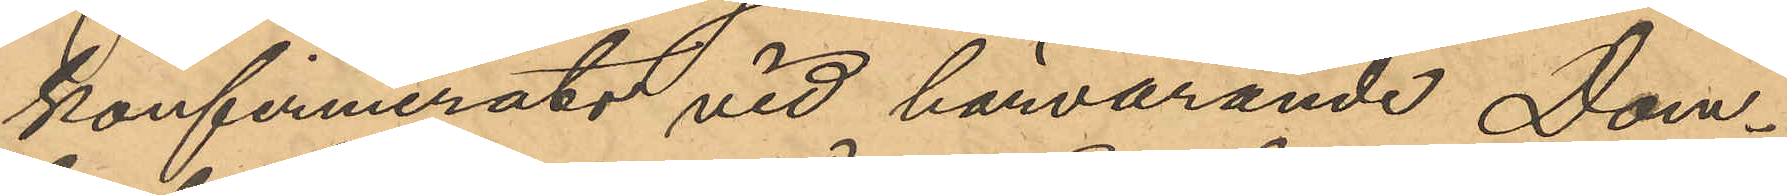konfirmerats vid härvarande Dom¬
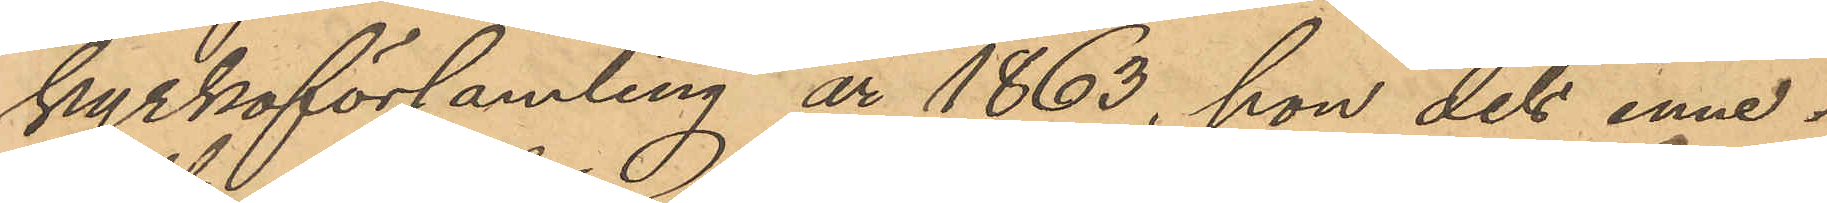kyrkoförsamling år 1863, hon dels inne¬
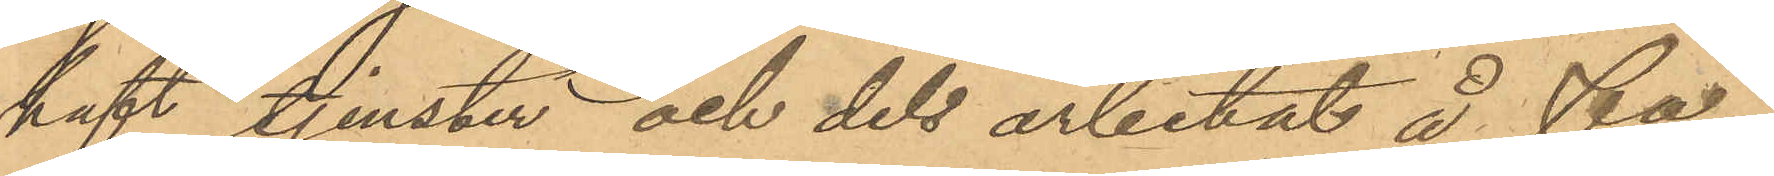haft tjenster och dels arbetat å fa¬
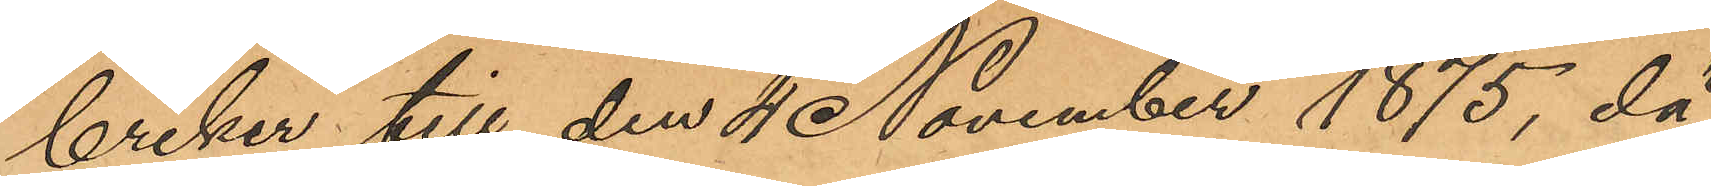briker till den 4 November 1875, då
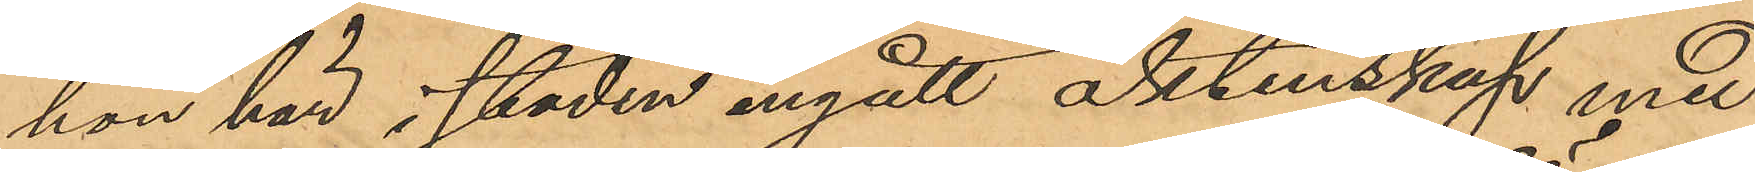hon här i staden ingått äktenskap med
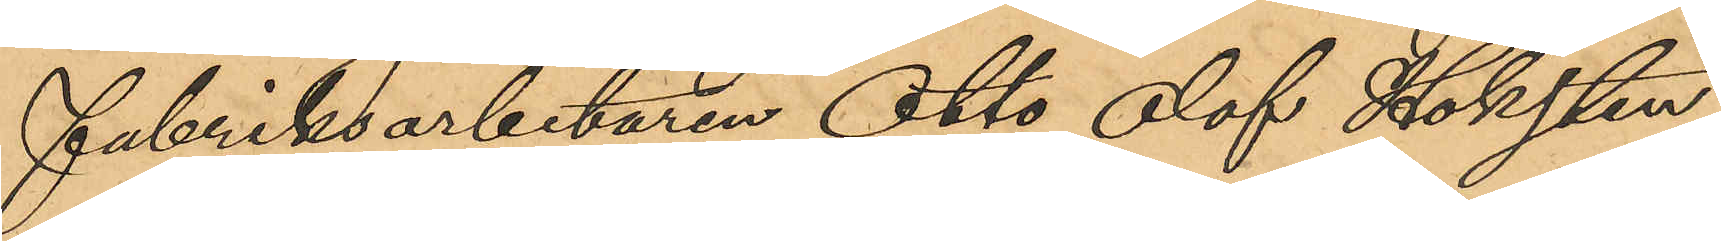fabriksarbetaren Otto Olof Höksten
